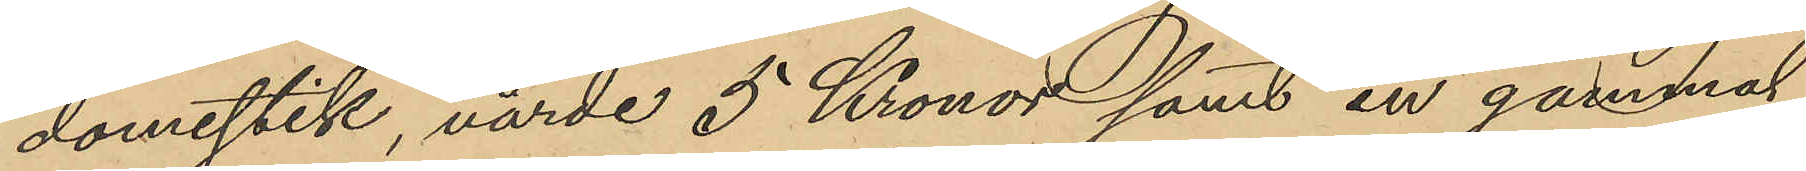domestik, värde 5 Kronor samt en gammal
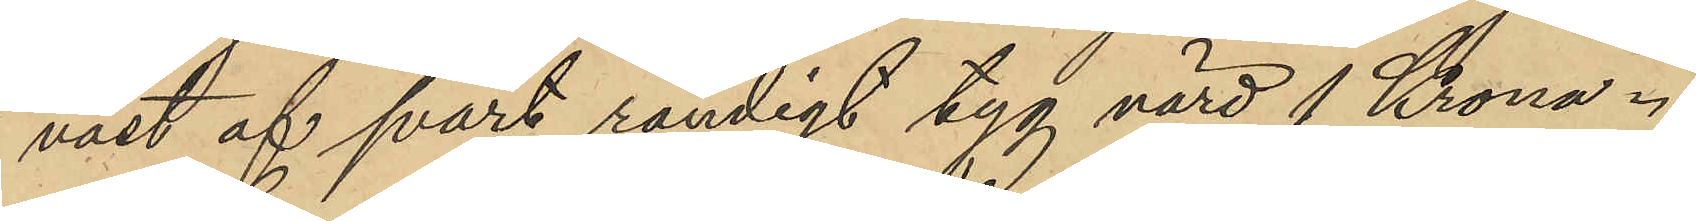väst af svart randigt tyg värd 1 Krona.
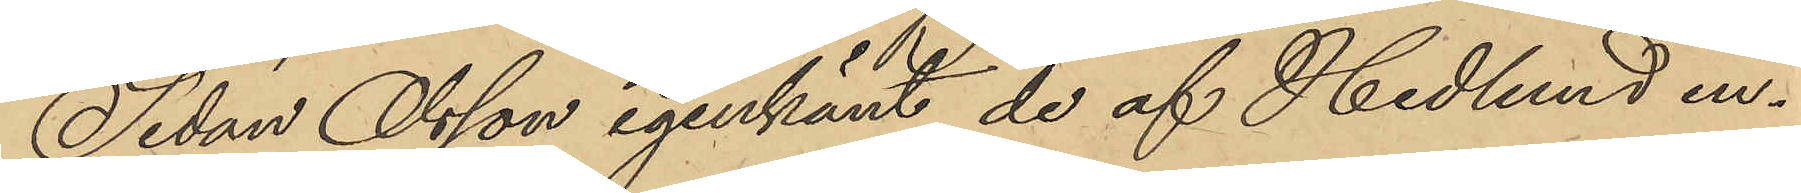Sedan Olsson igenkänt de af Hedlund in¬
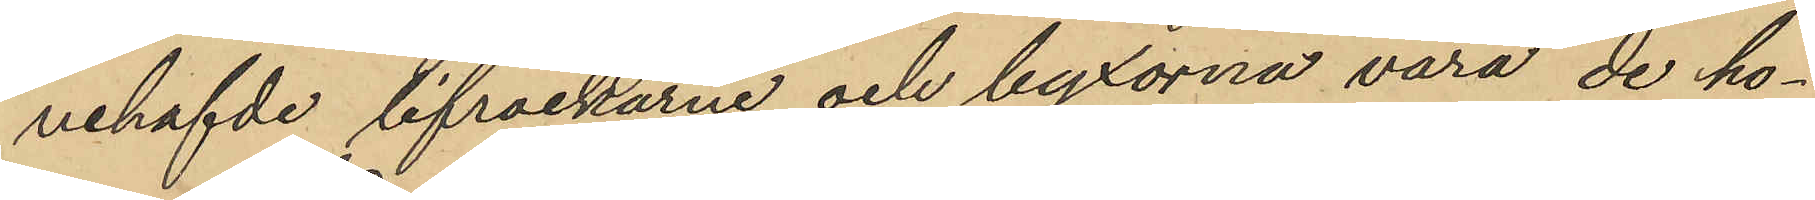nehafvde lifrockarne och byxorna vara de ho¬
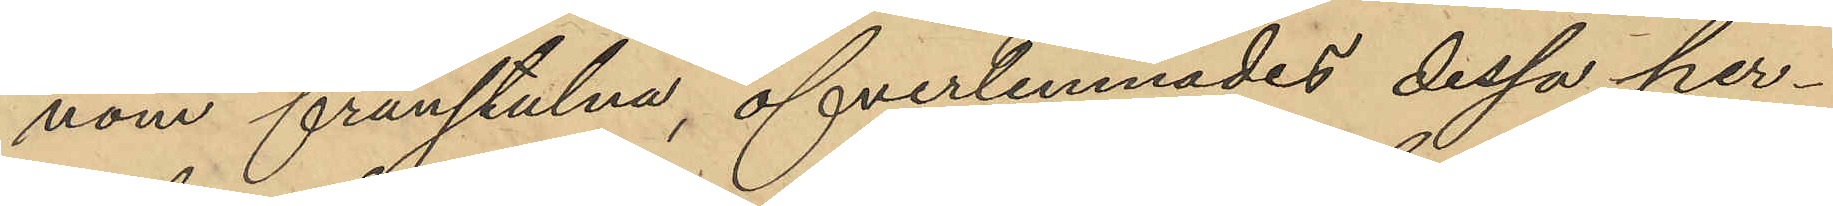nom frånstulna, öfverlemnades dessa per¬
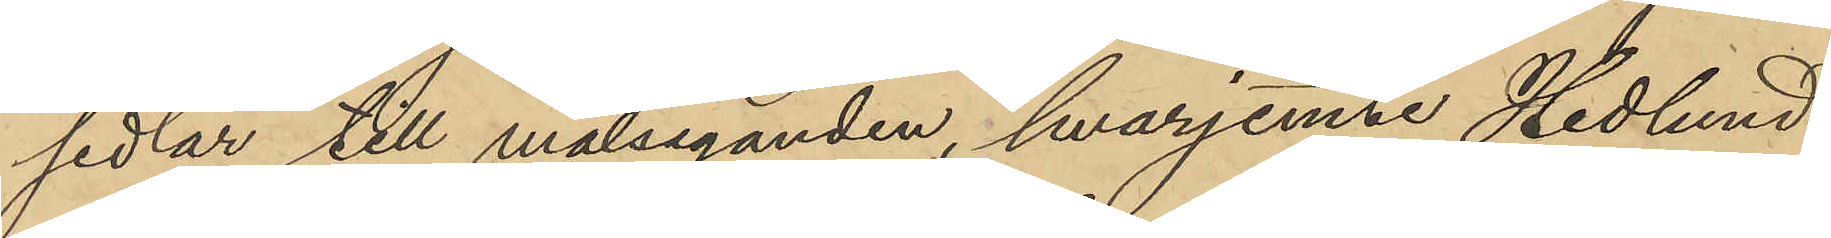sedlar till målseganden, hvarjemte Hedlund
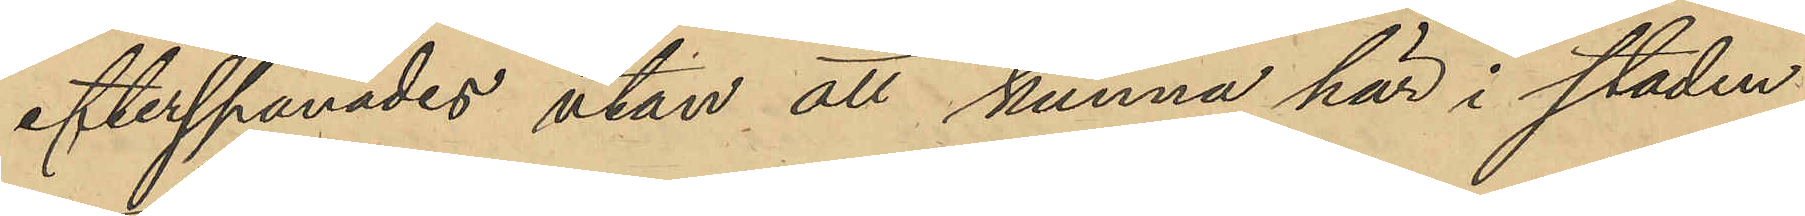efterspanades utan att kunna här i staden
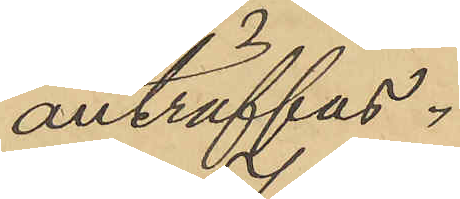anträffas.
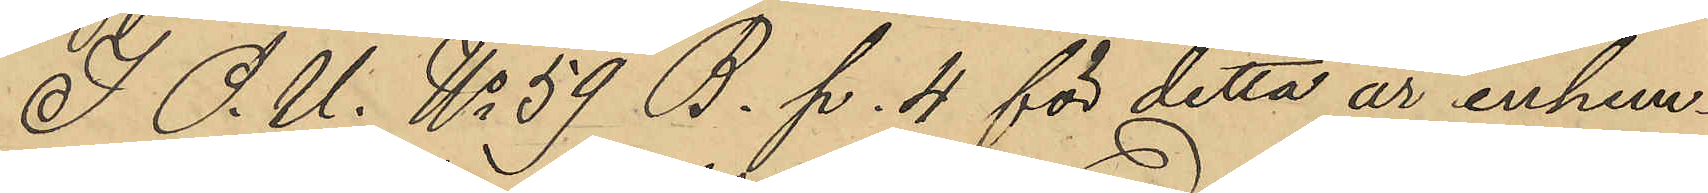I O. U. No 59 B. p. 4 för detta år inhem¬
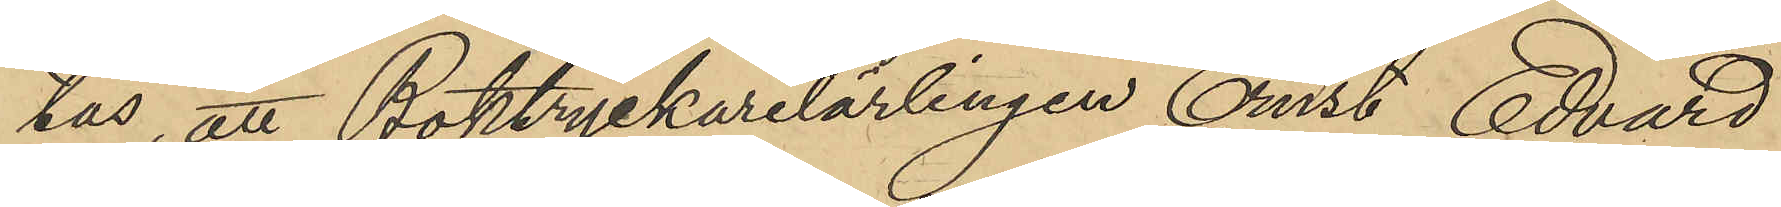tas, att Boktryckarelärlingen Ernst Edvard
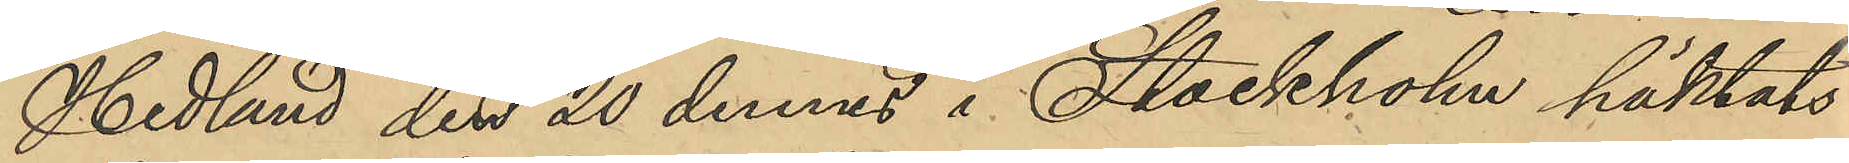Hedlund den 20 dennes i Stockholm häktats
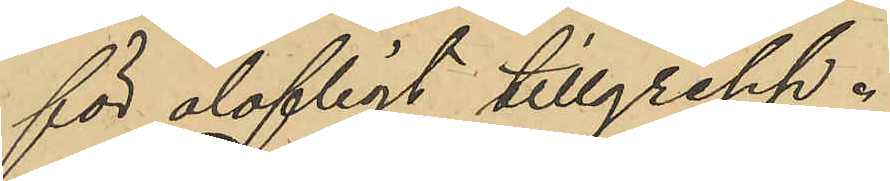för olofligt tillgrepp.
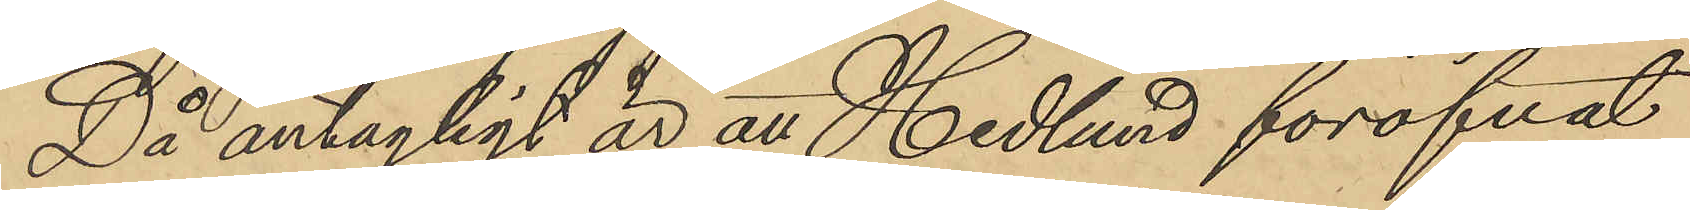Då antagligt är att Hedlund föröfvat
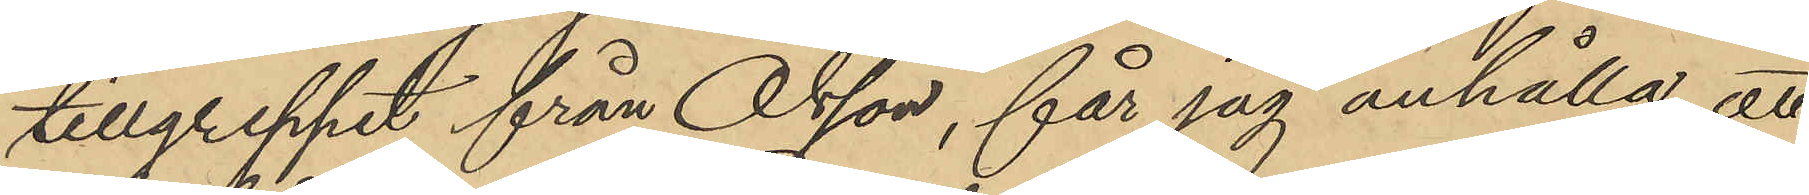tillgreppet från Olsson, får jag anhålla, att
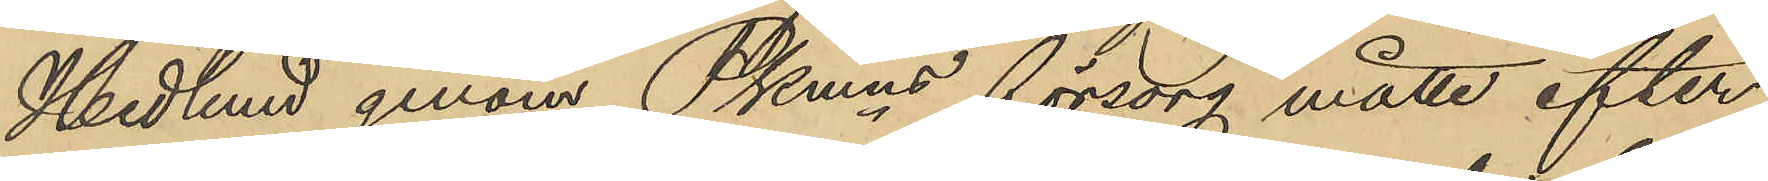Hedlund genom Pkmns försorg måtte efter
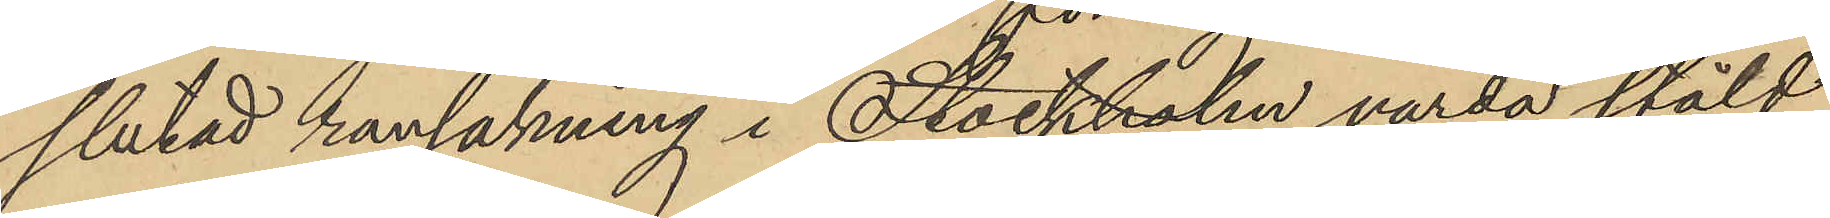slutad ransakning i Stockholm varda stäld
